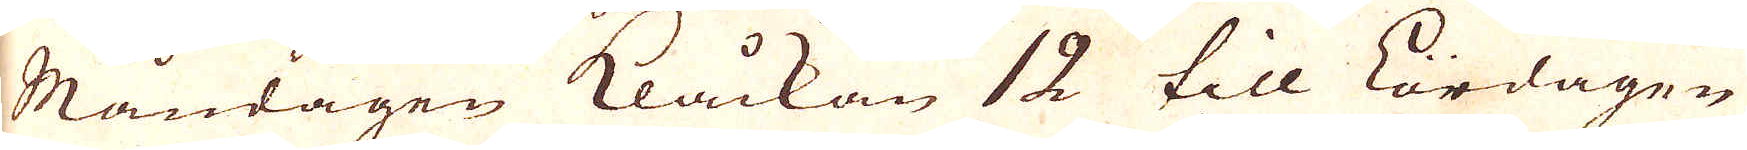Måndagen klåckan 12 till Lördagen
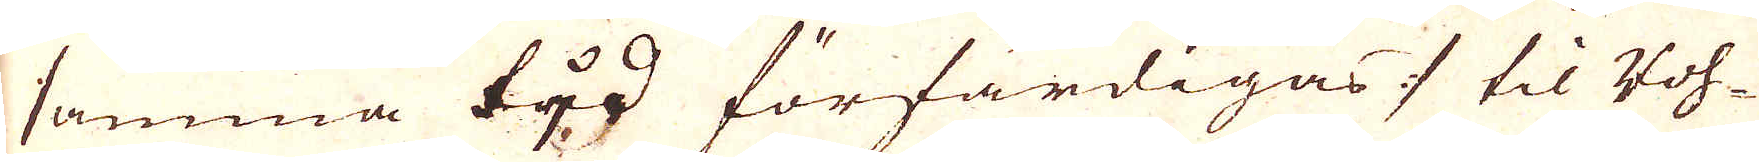samma tjd förfärdigas :/ til Voh-
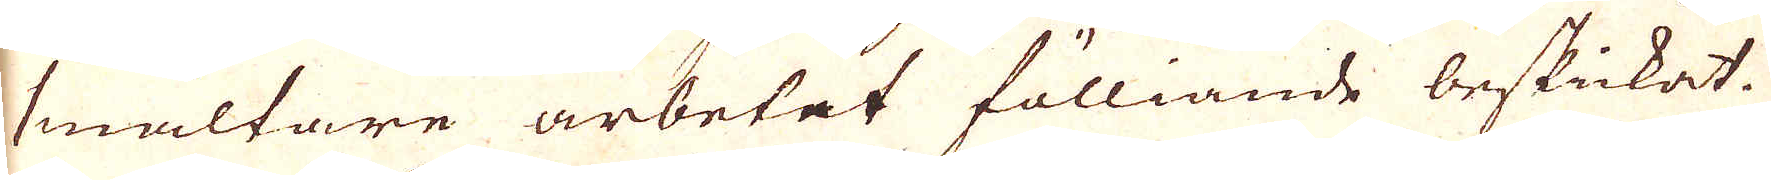smältare arbetet fölliande beskickat.
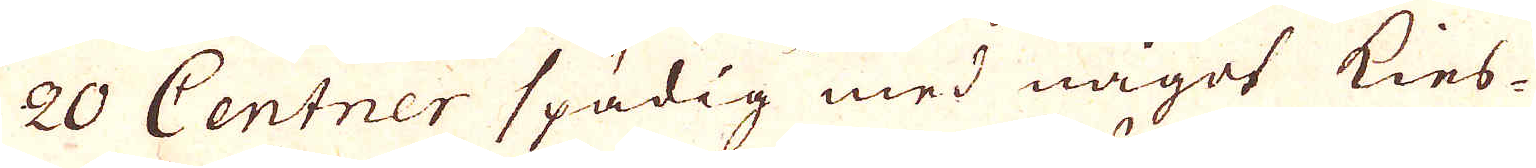20 Centner spädig med något kies-
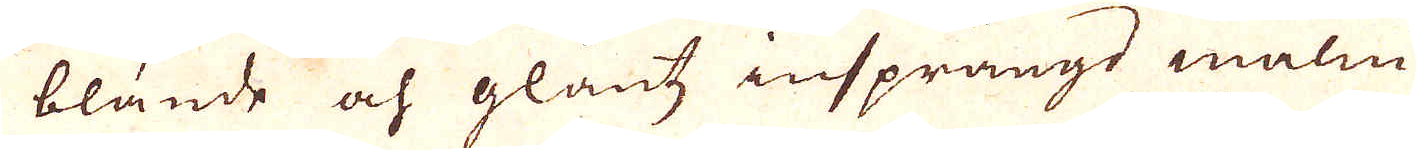blande och glantz insprängd malm
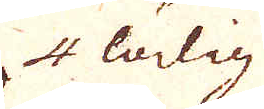4 lödig
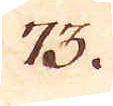73.
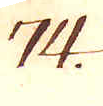74.
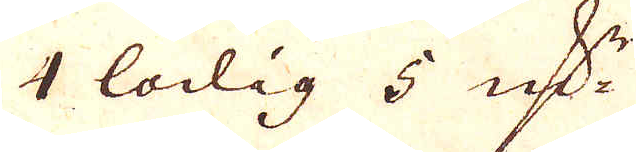4 lödig 5 qv:r
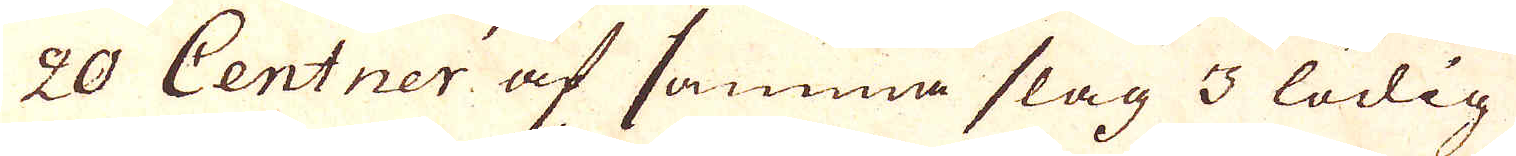20 Centner af samma slag 3 lödig
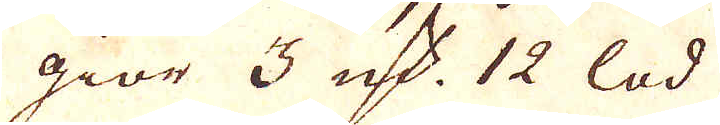giör 3 qv:r 12 lod
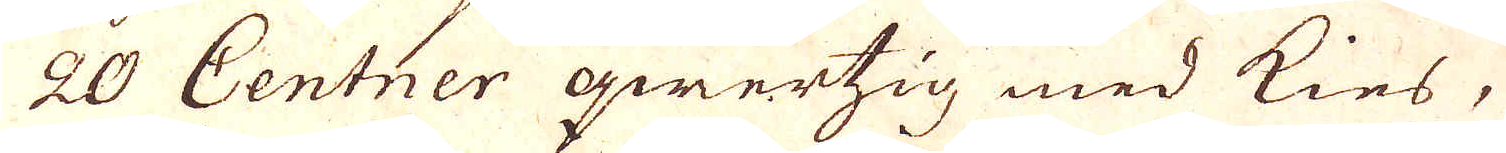20 Centner qwertzig med kies,
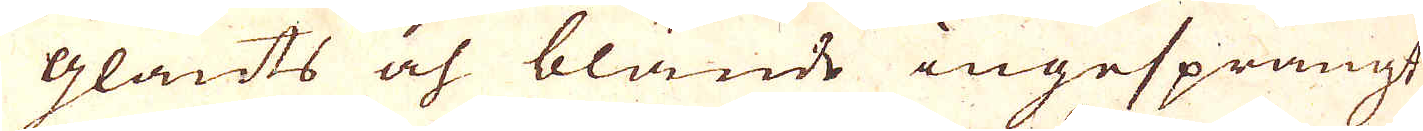glants och blände ingesprängt
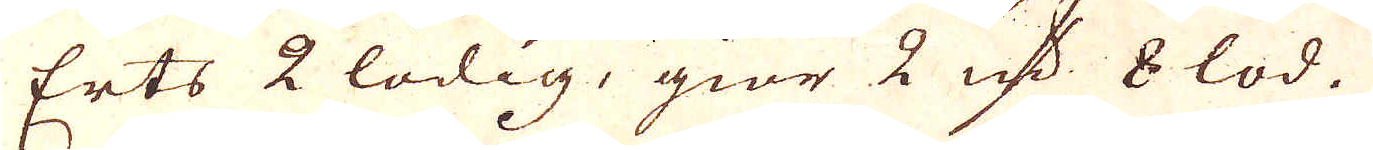Erts 2 lödig, giör 2 qv:r 8 lod.
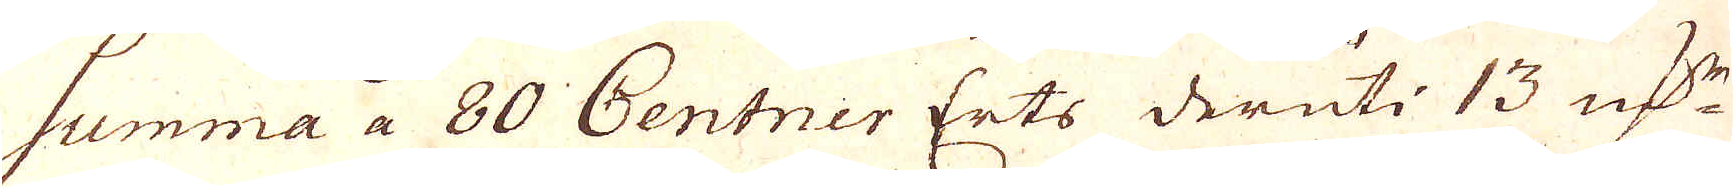Summa a 80 Centner Erts deruti. 13 qv:r
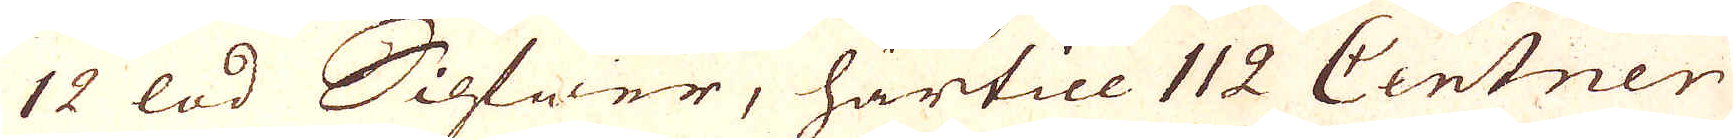12 lod Silfwer, härtill 112 Centner
